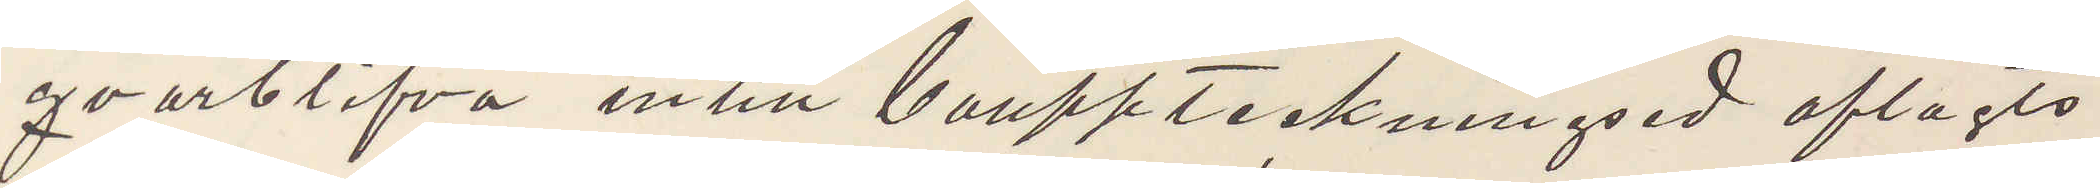qvarblifva intill bouppteckningsed aflagts
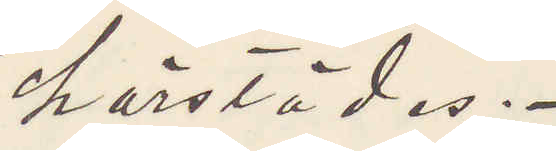härstädes.
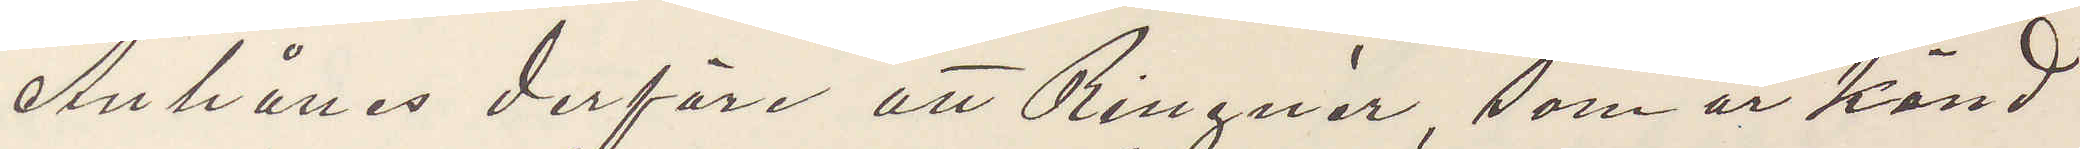Anhålles derföre att Ringnér, som är känd
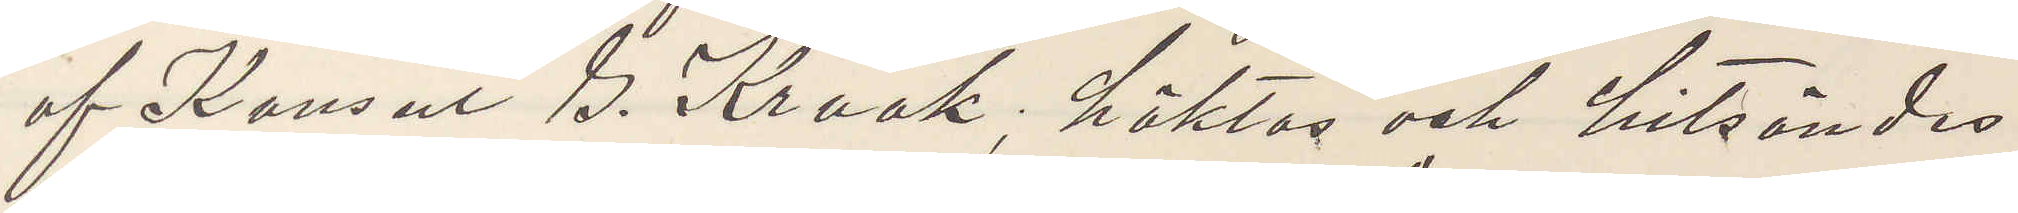af Konsul B. Krook, häktas och hitsändes
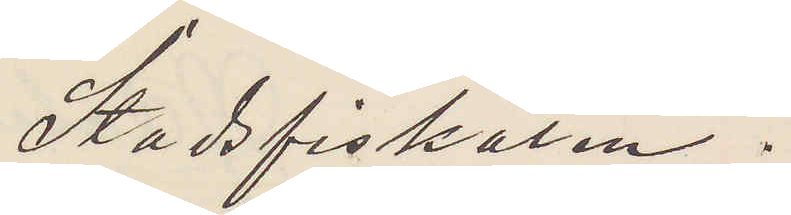Stadsfiskalen.
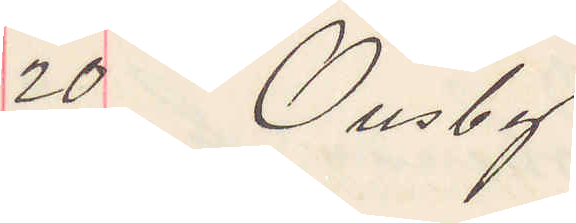20 Ousby
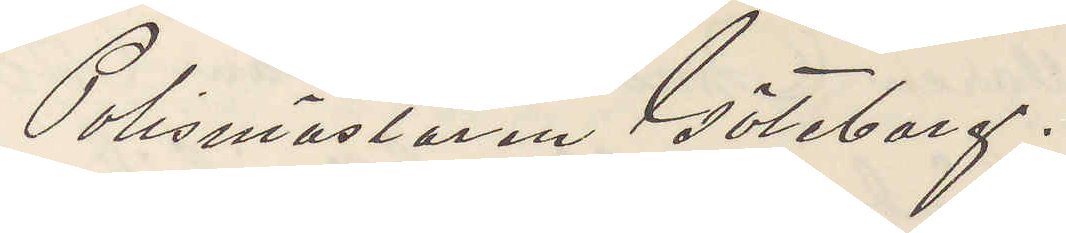Polismästaren Göteborg.
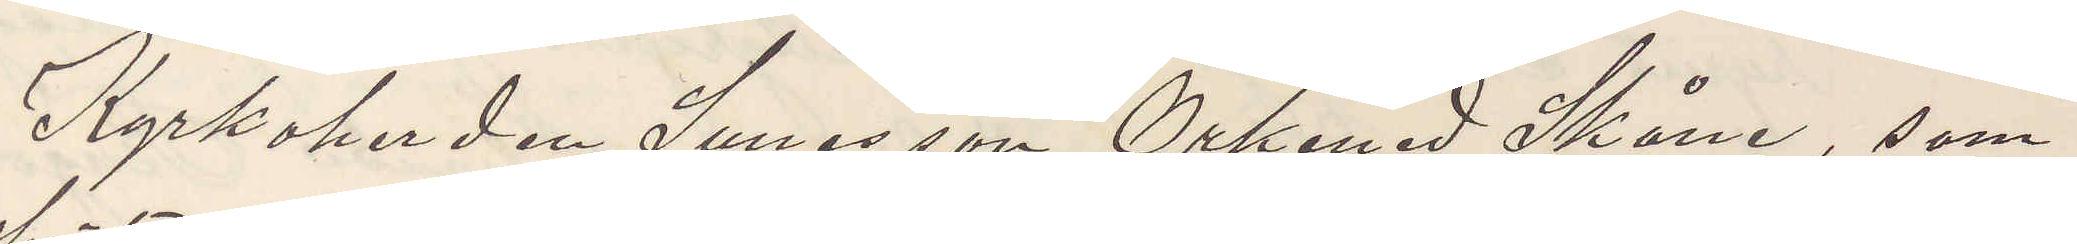Kyrkoherden Sunesson Örkened, Skåne, som
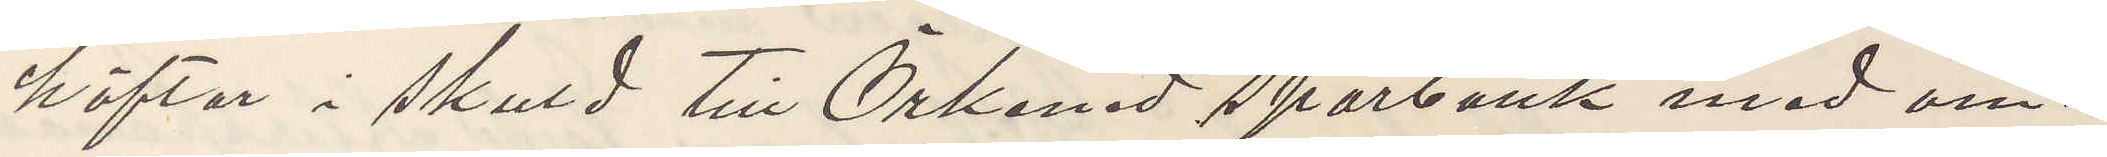häftar i skuld till Örkened Sparbank med om¬
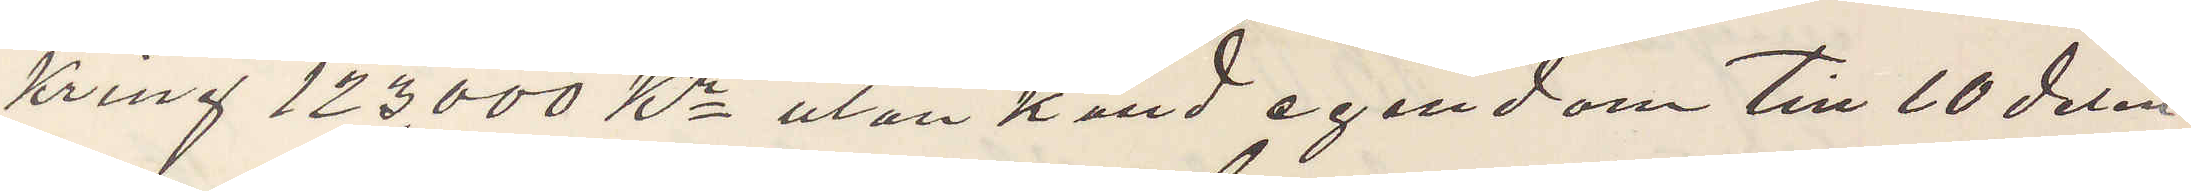kring 123,000 Kr utan känd egendom till 20 delen
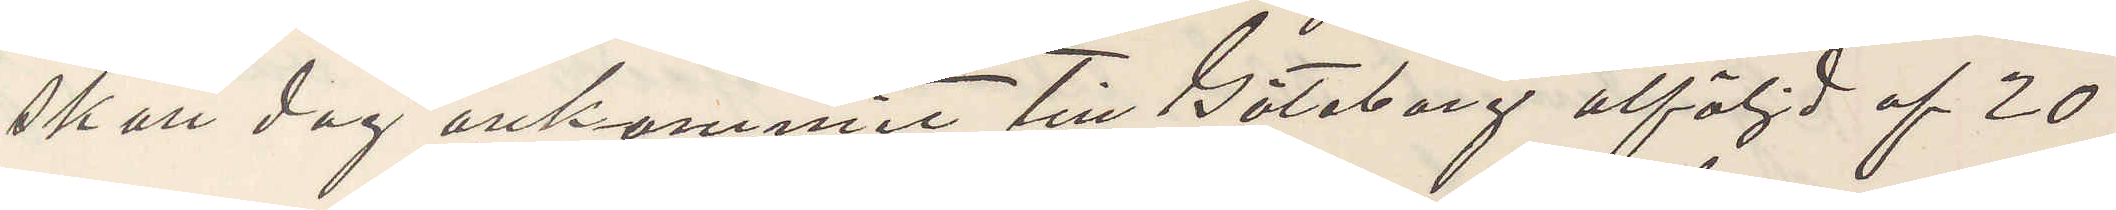skall dag ankommit till Göteborg åtföljd af 20
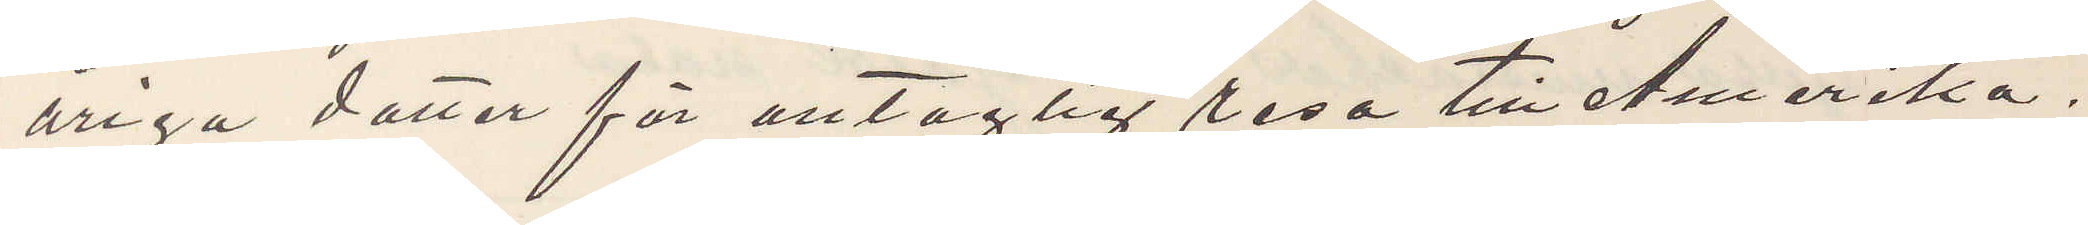åriga dotter för antaglig resa till Amerika.
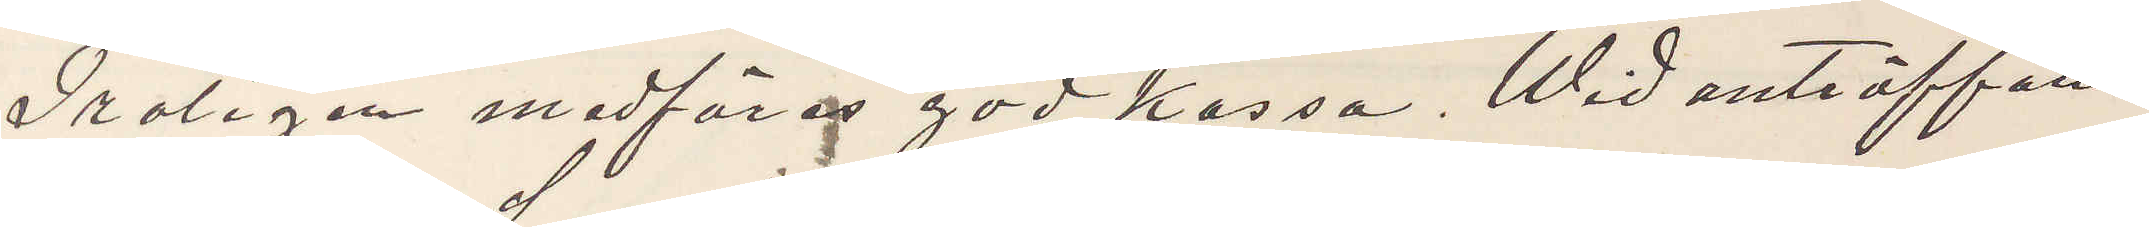Troligen medföra god kassa. Wid anträffan¬
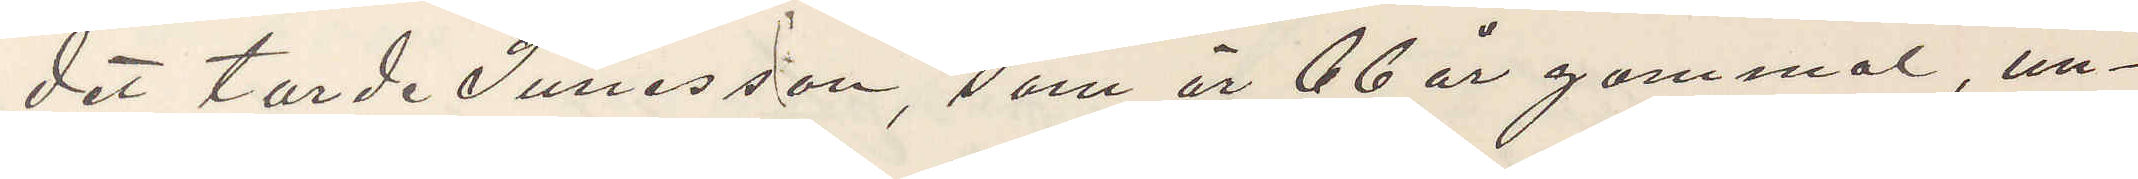det torde Sunesson, som är 66 år gammal, un¬
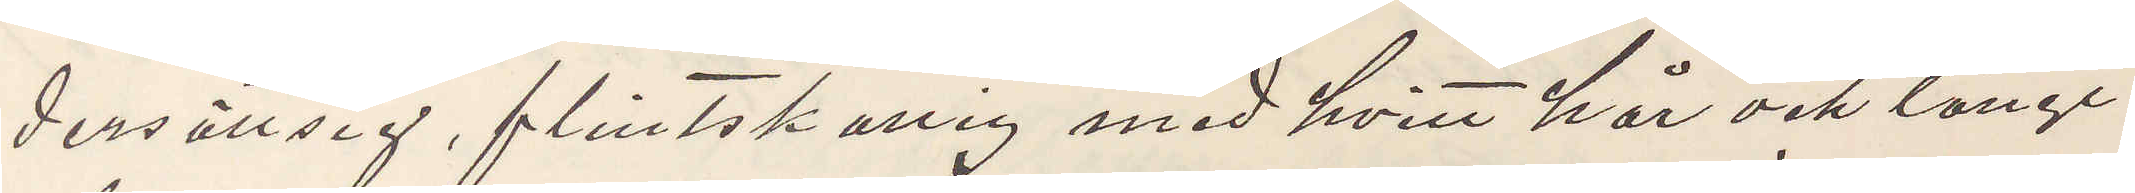dersättsig, flintskallig med hvitt hår och långt
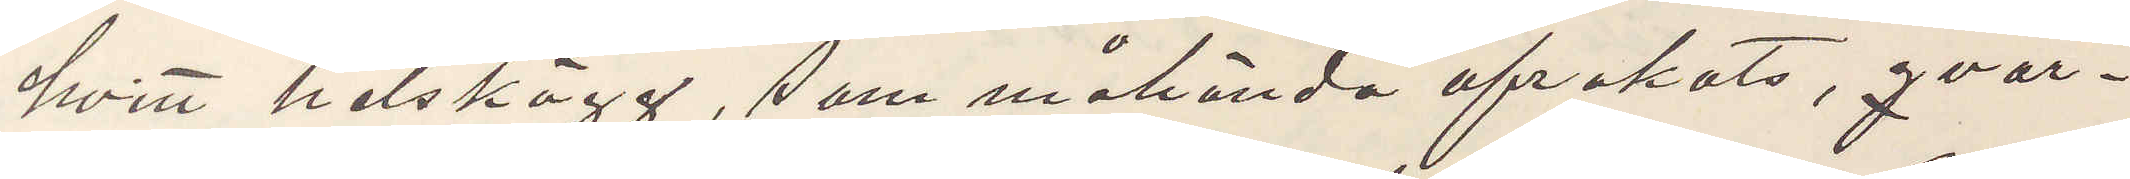hvitt helskägg, som hända afrakats, qvar¬
